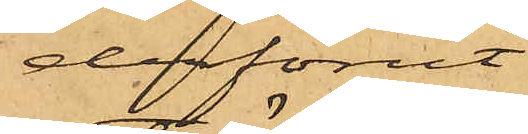derförut
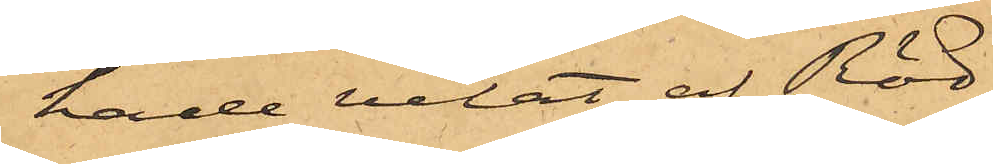hade velat af Röd¬
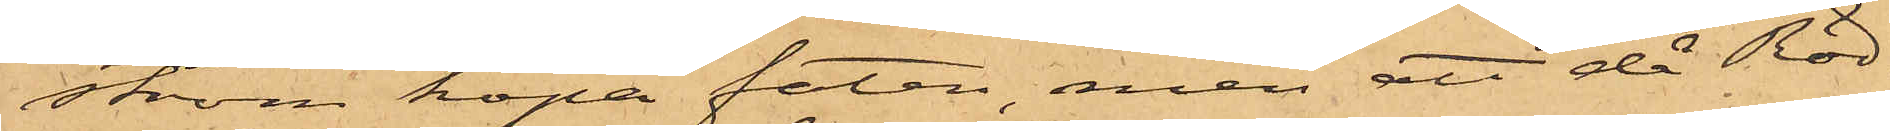ström köpa faten, men att då Röd¬
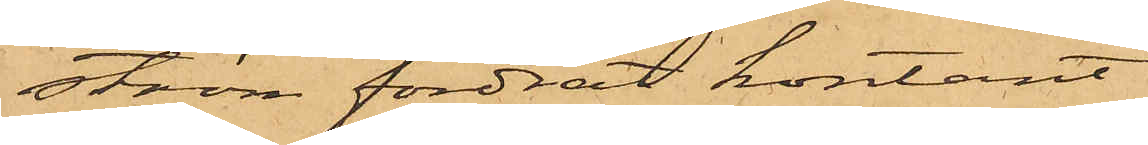ström fordrat kontant
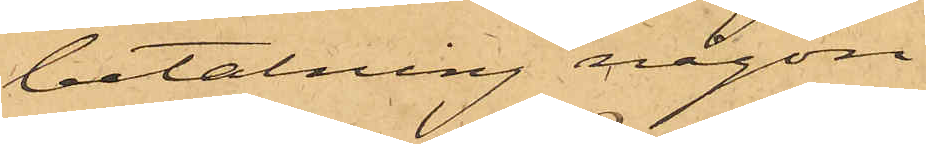betalning någon
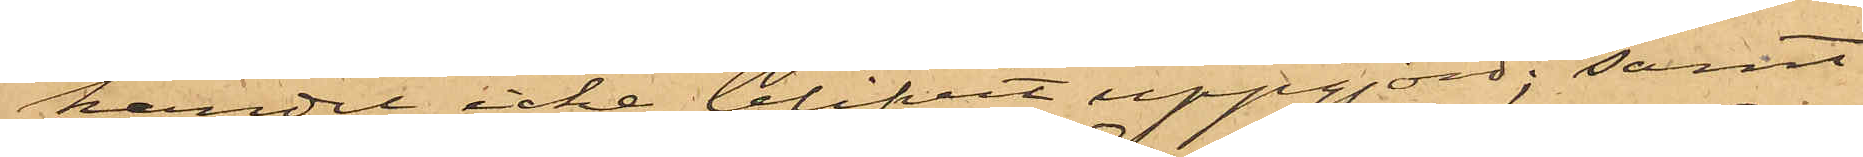handel icke blifvit uppgjord; samt
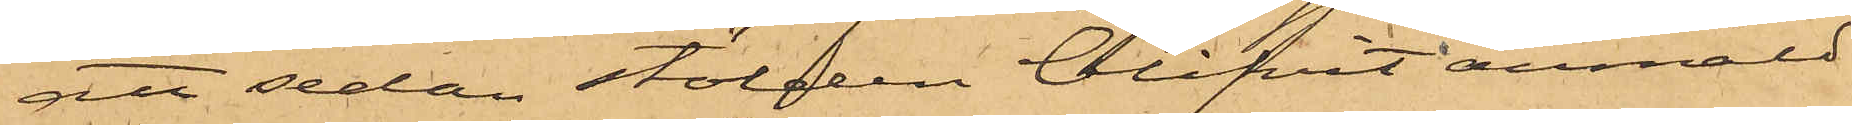att sedan stölden blifvit anmäld
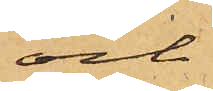och
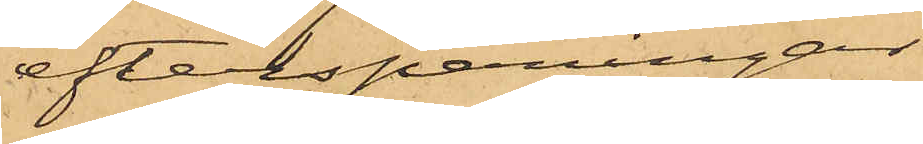efterspaningar
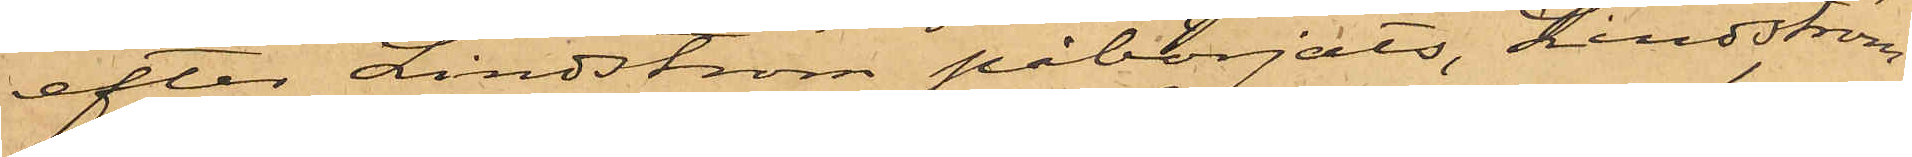efter Lindström påbörjats, Lindström,
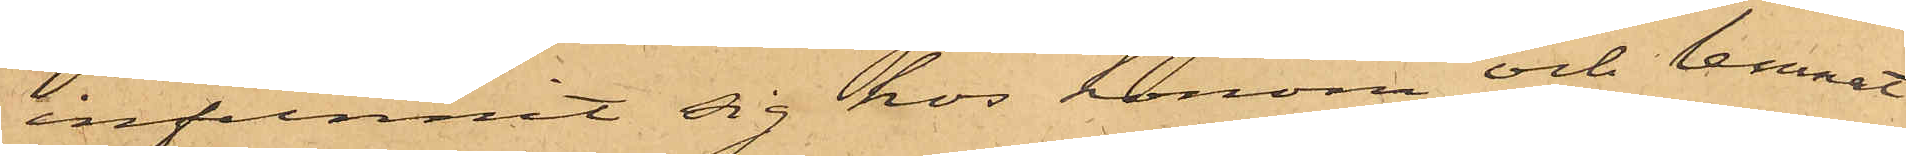infunnit sig hos honom och lemnat
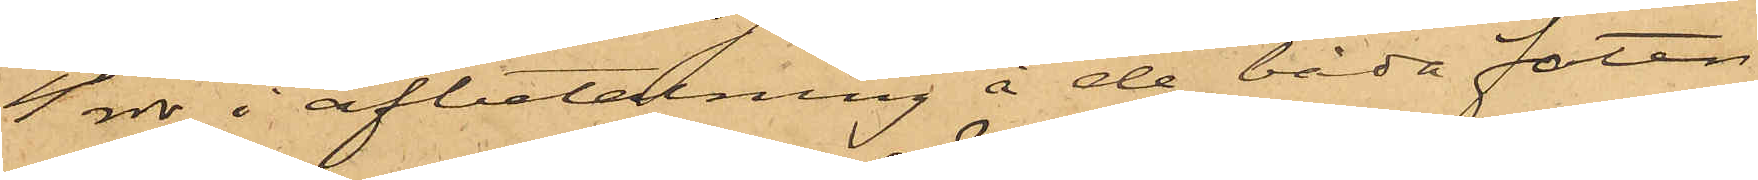4 rdr i afbetalning å de båda faten.
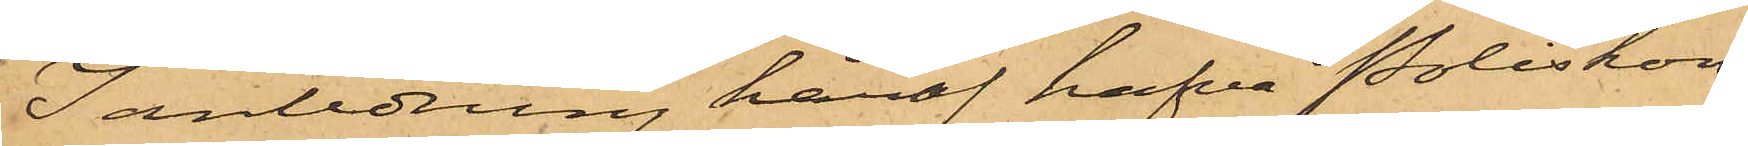I anledning häraf hafva Poliskon¬
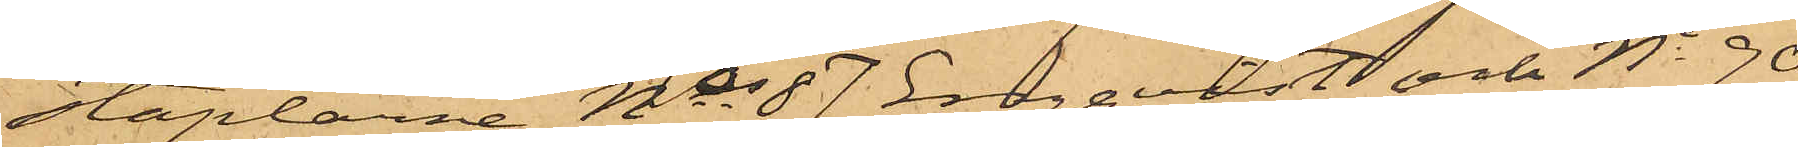staplarne No 87 Engqvist och No 90
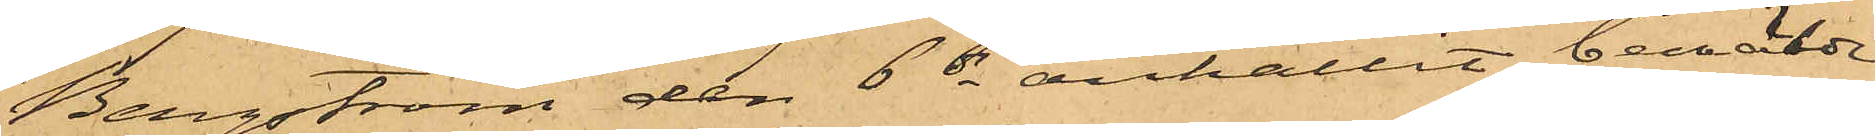Bergström den 6 ds anhållit bemälde
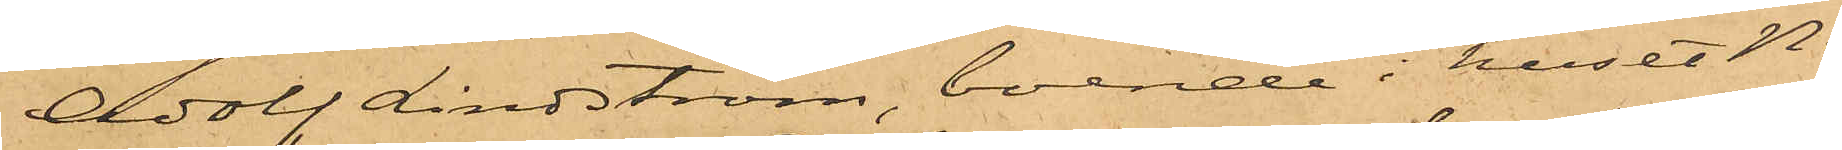Adolf Lindström, boende i huset No
